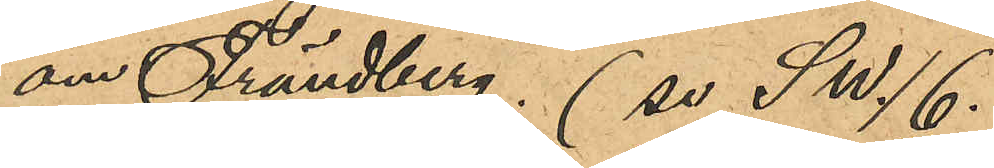om Frändberg. (se SW/6.
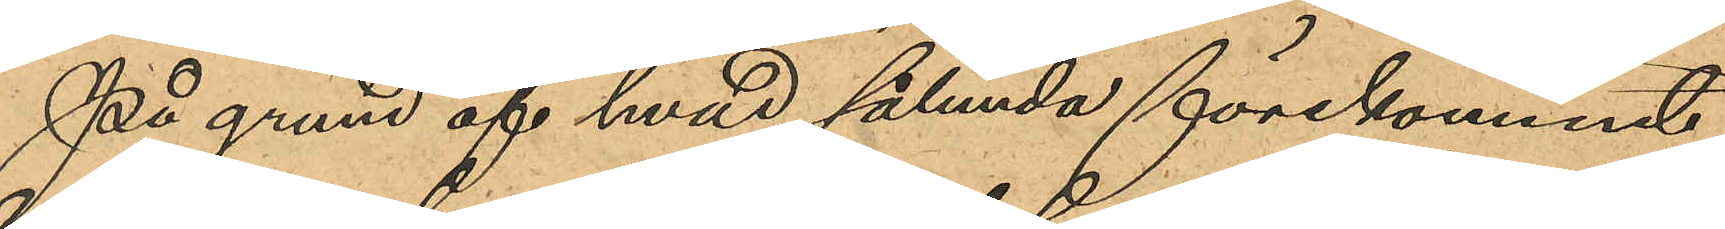På grund af hvad sålunda förekommit
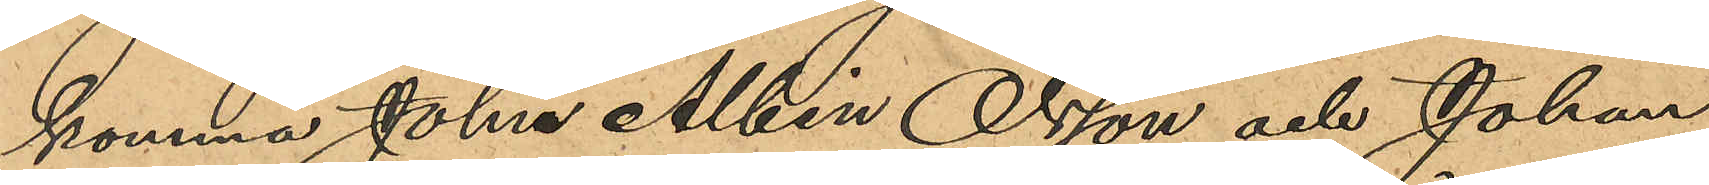komma John Albin Olsson och Johan
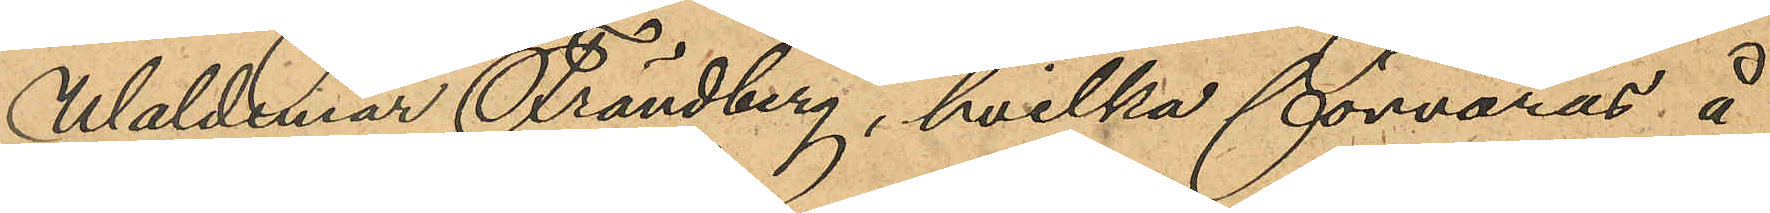Waldemar Frändberg, hvilka förvaras å
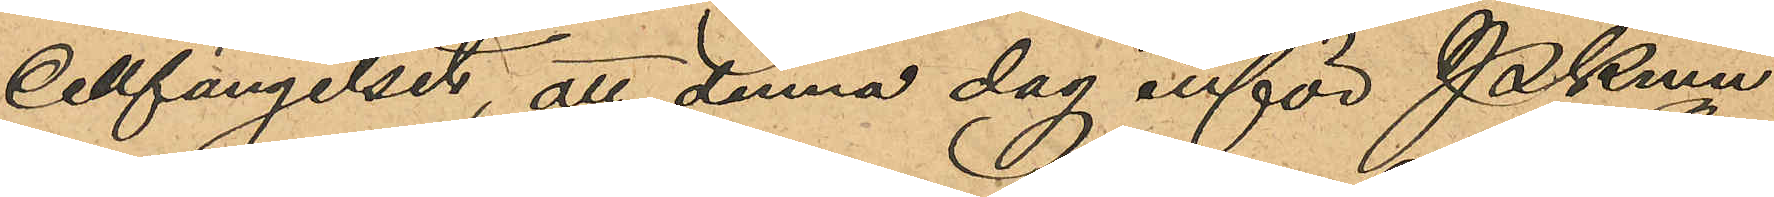Cellfängelset, att denna dag inför Pkmn
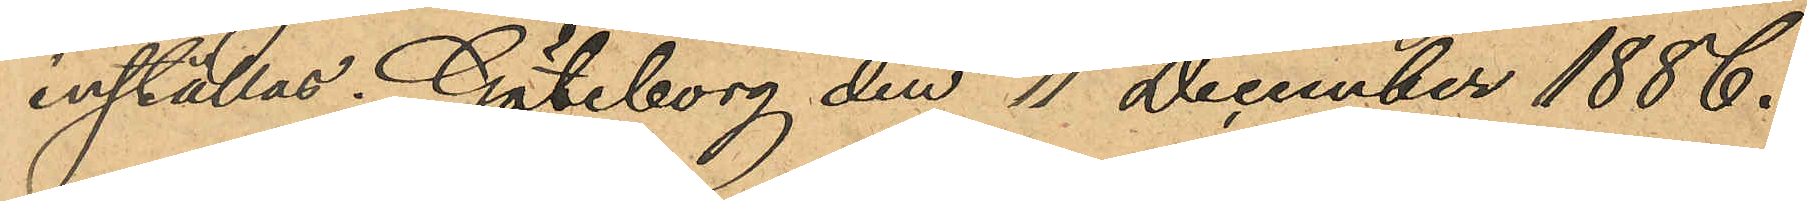inställas. Göteborg den 11 December 1886.
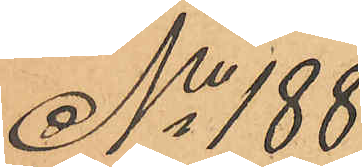No 188
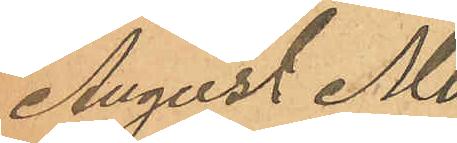August Mo¬
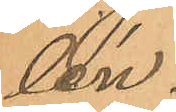lén.
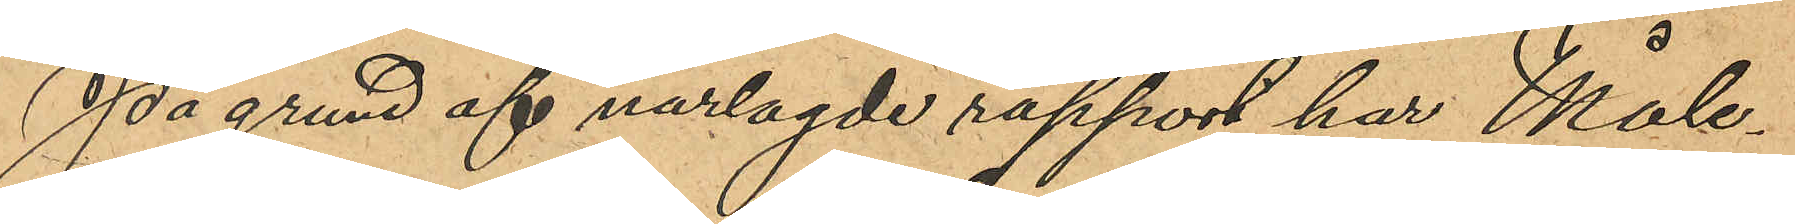På grund af närlagde rapport har Måle¬
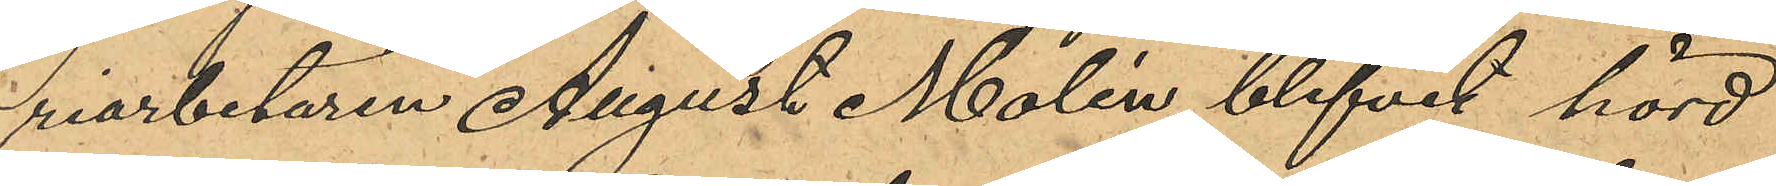riarbetaren August Molén blifvit hörd
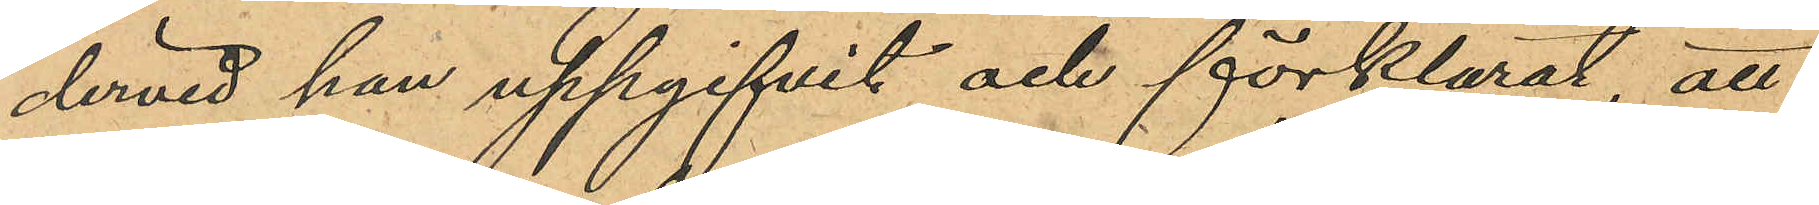dervid han uppgifvit och förklarat, att
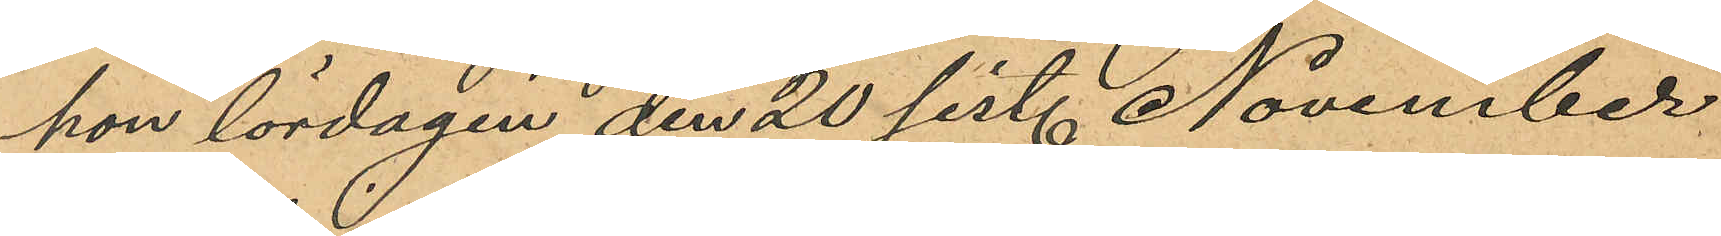han lördagen den 20 sist. November
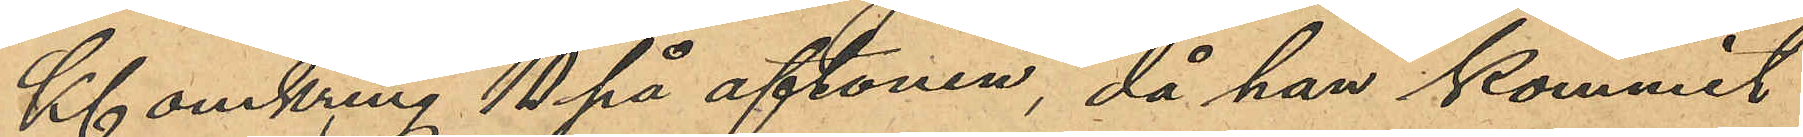Kl omkring 10 på aftonen, då han kommit
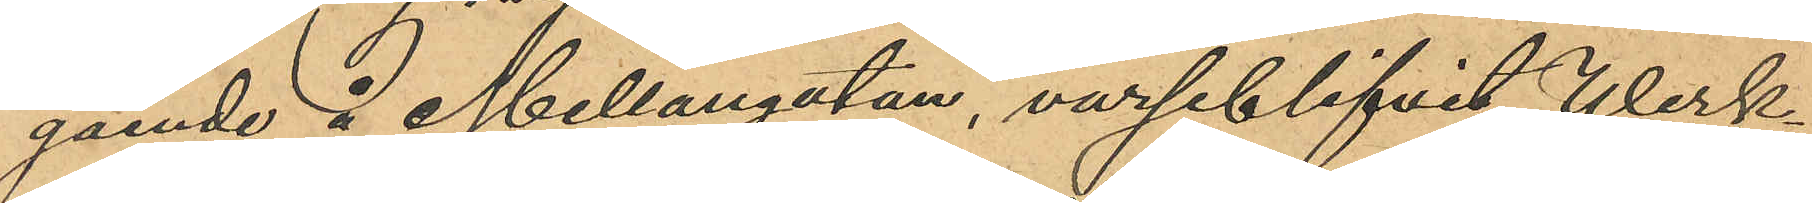gående å Mellangatan, varseblifvit Werk¬
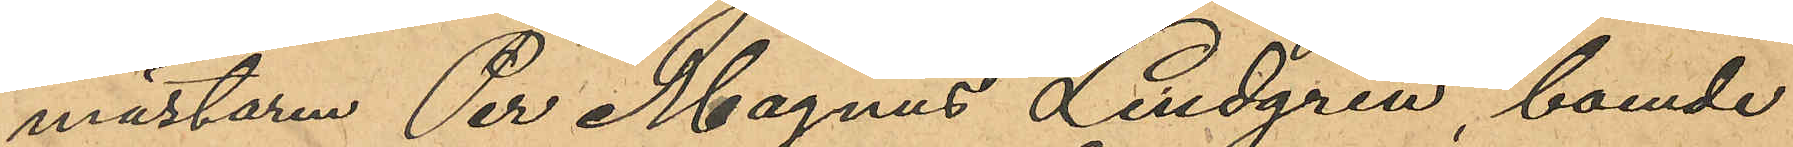mästaren Per Magnus Lindgren, boende
